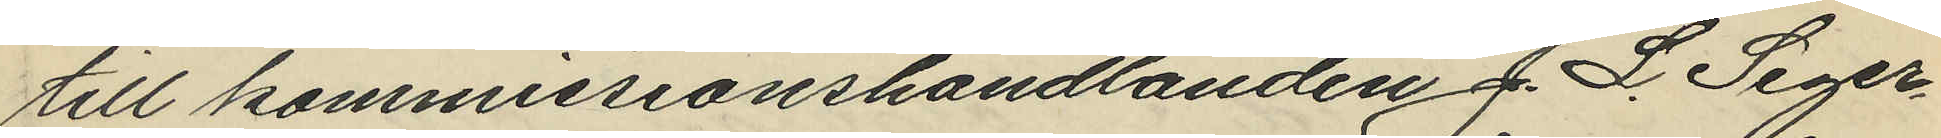till kommissionshandlanden J. L. Seger¬
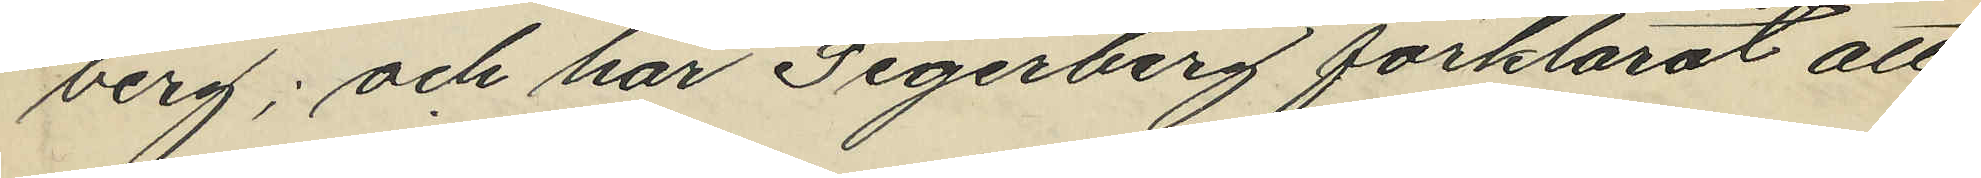berg; och har Segerberg förklarat att
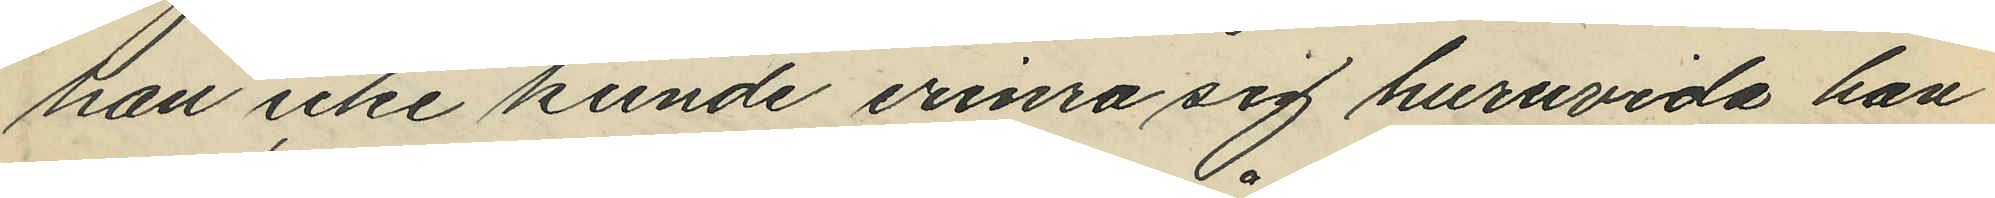han icke kunde erinra sig huruvida han
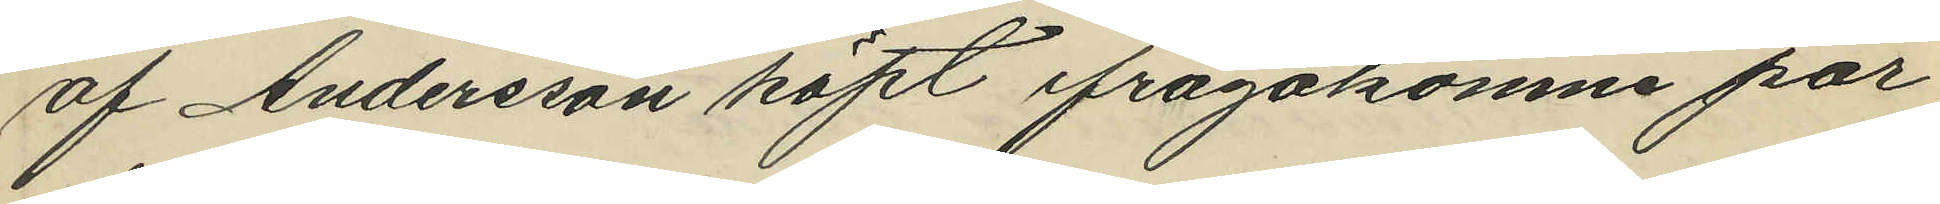af Andersson köpt ifrågakomne par
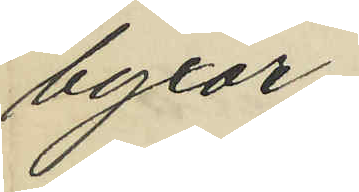byxor;
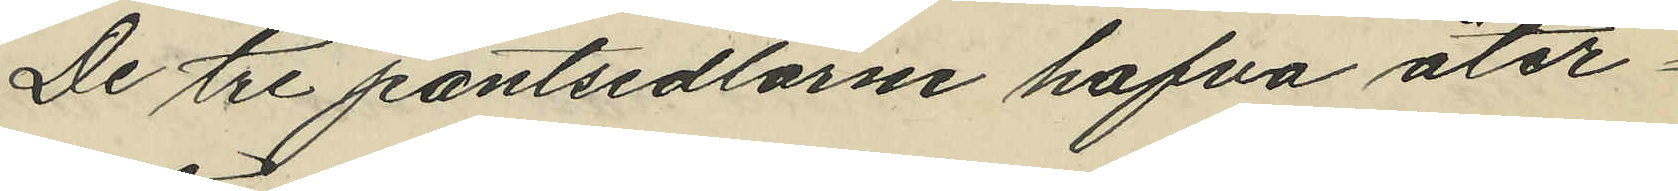De tre pantsedlarne hafva åter¬
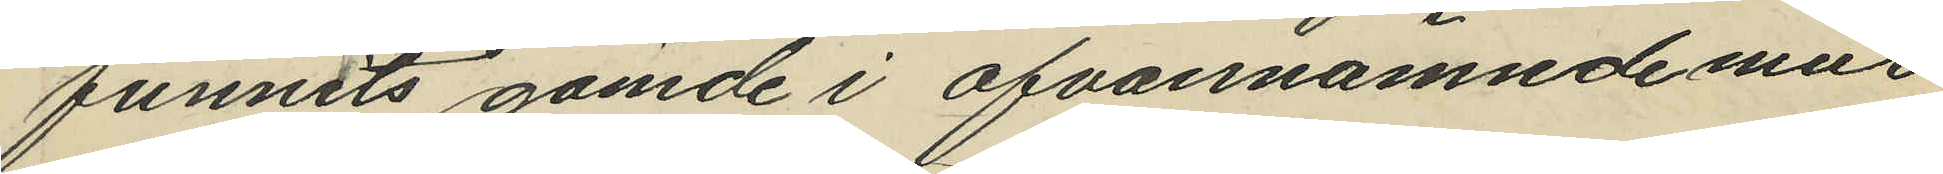funnits gömde i ofvannämnde mur
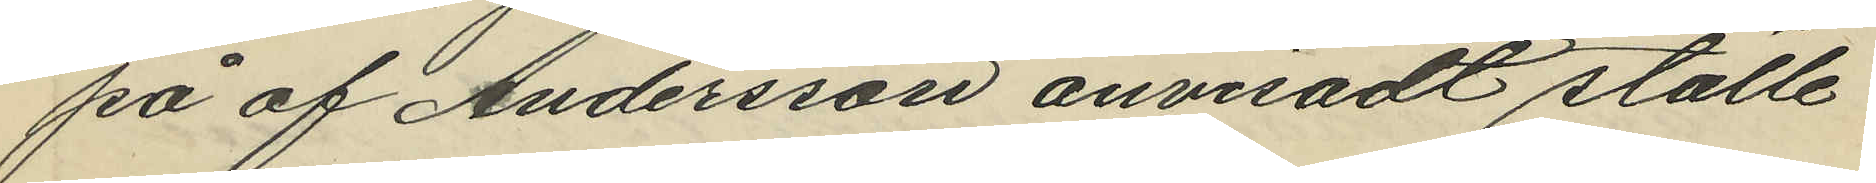på af Andersson anvisadt ställe
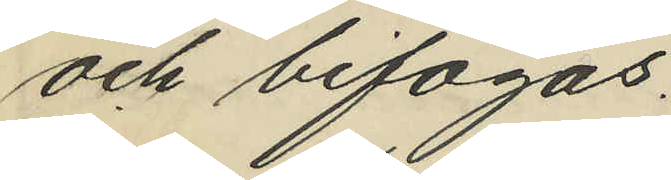och bifogas.
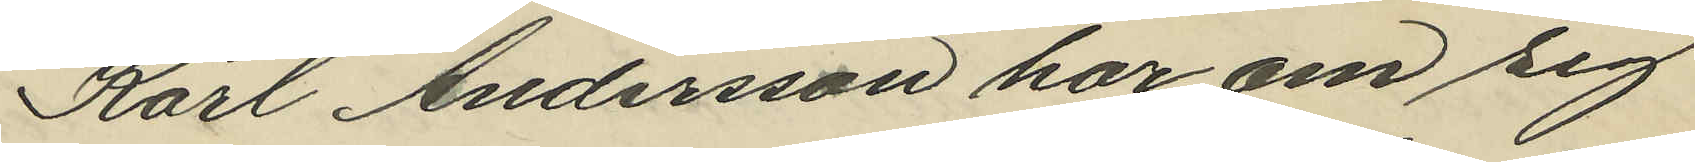Karl Andersson har om sig
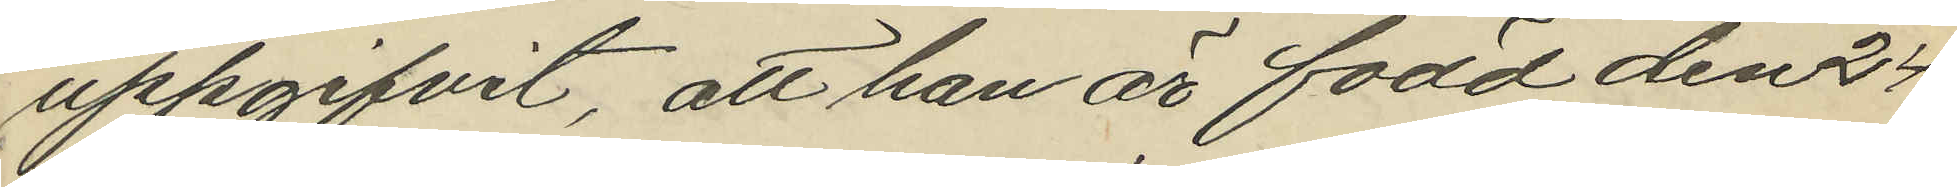uppgifvit, att han är född den 24
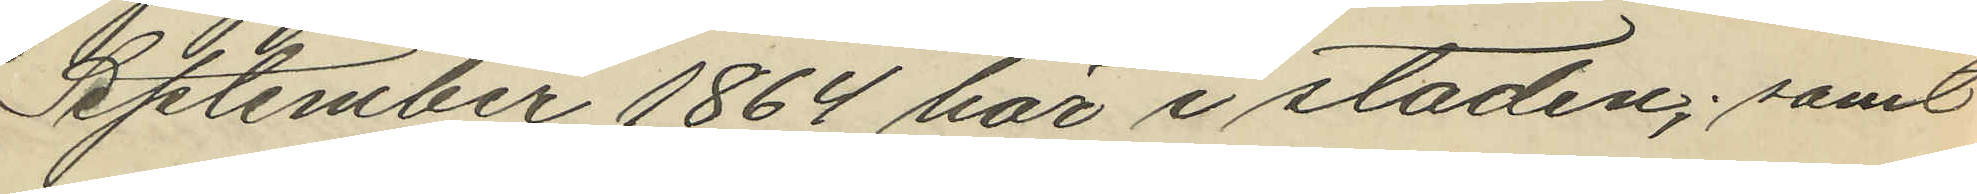September 1864 här i staden; samt
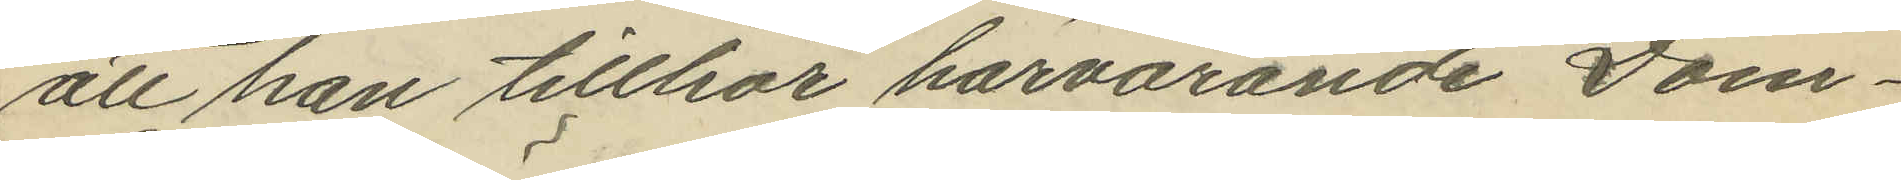att han tillhör härvarande Dom¬
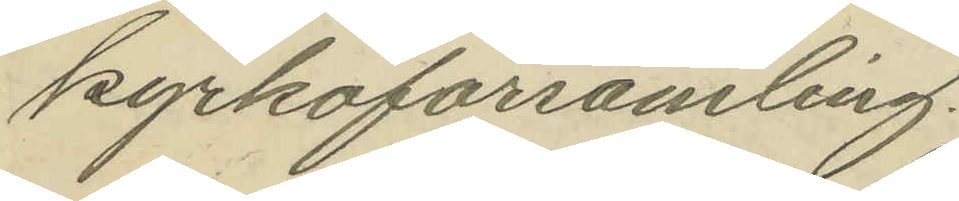kyrkoförsamling.
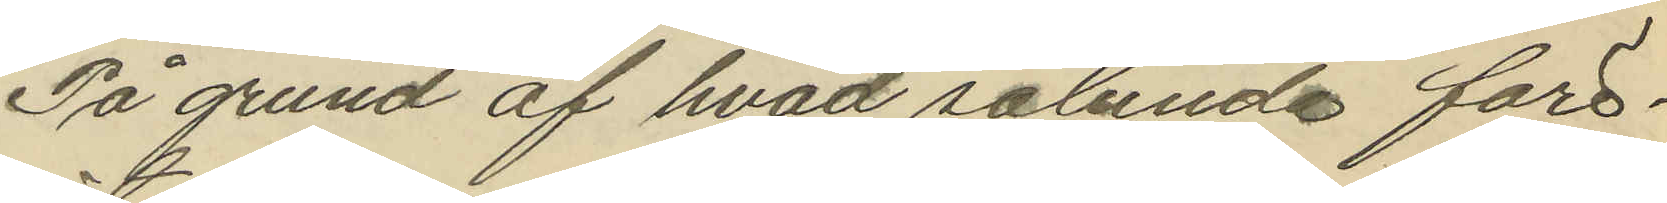På grund af hvad sålunda före¬
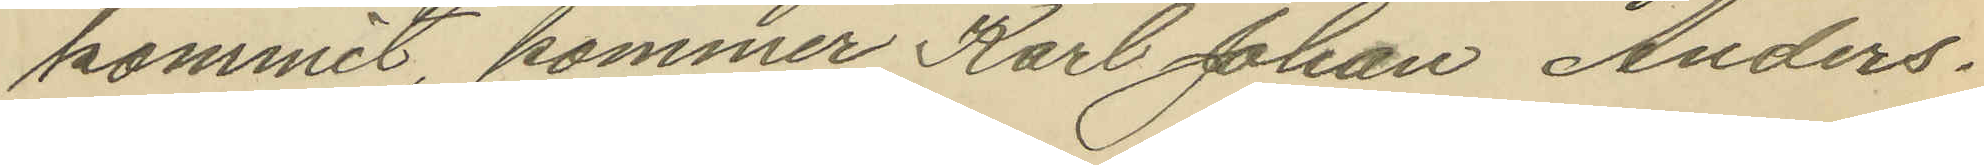kommit, kommer Karl Johan Anders¬
